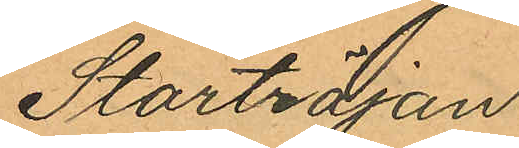Stortröjan
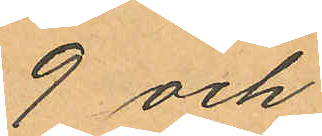9 och
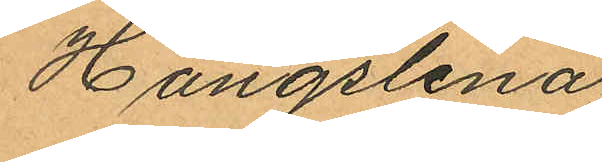Hängslena
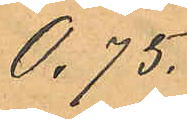0,75.
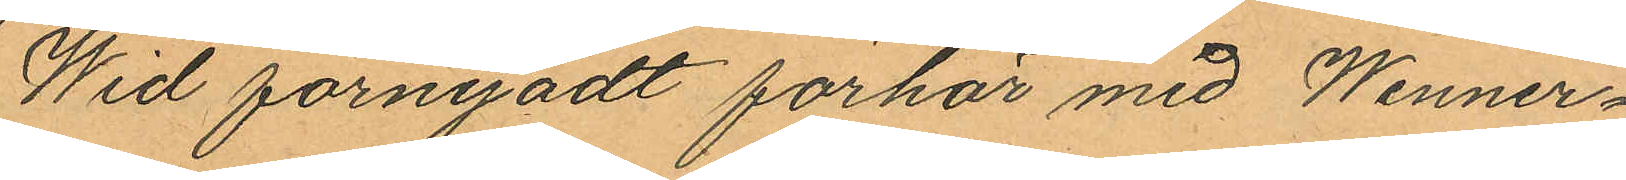Wid förnyadt förhör med Wenner¬
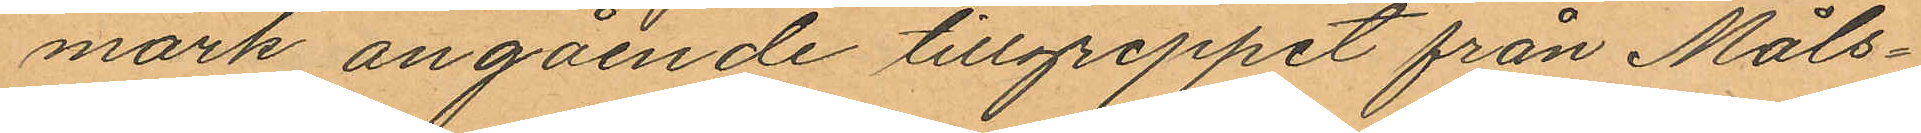mark angående tillgreppet från Måls¬
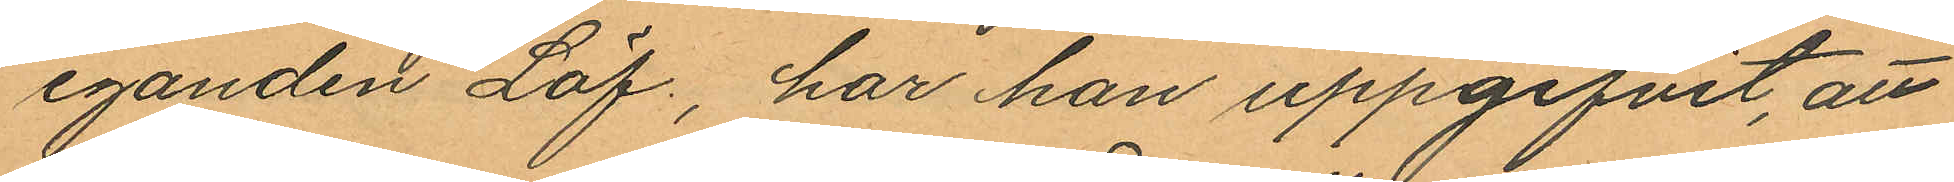eganden Löf, har han uppgifvit, att
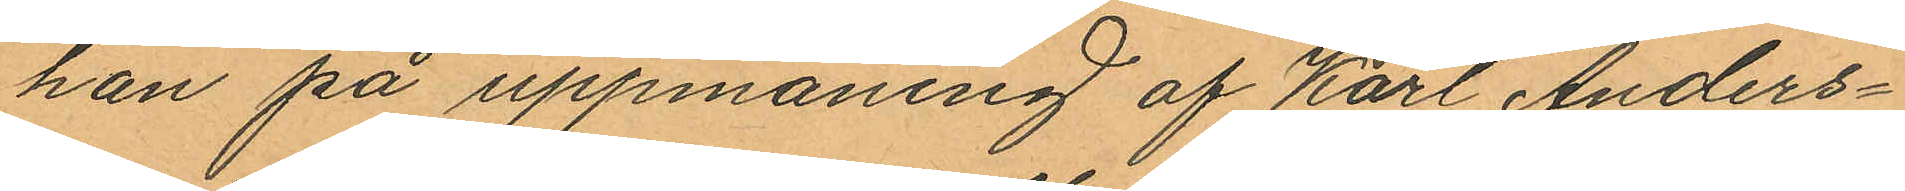han på uppmaning af Karl Anders¬
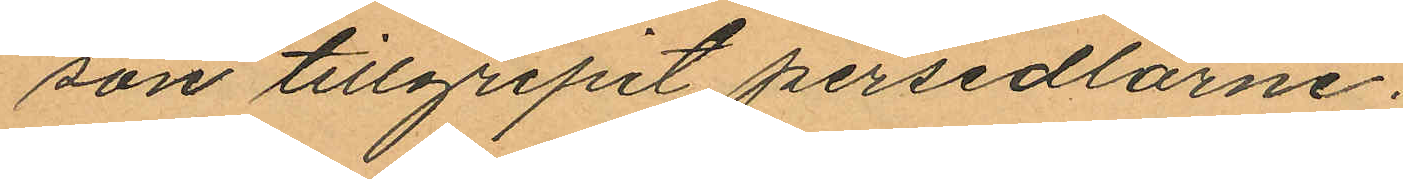son tillgripit persedlarne.
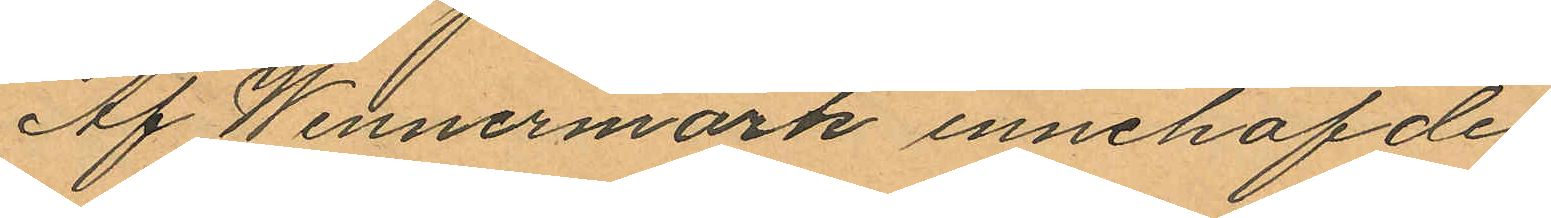Af Wennermark innehafde
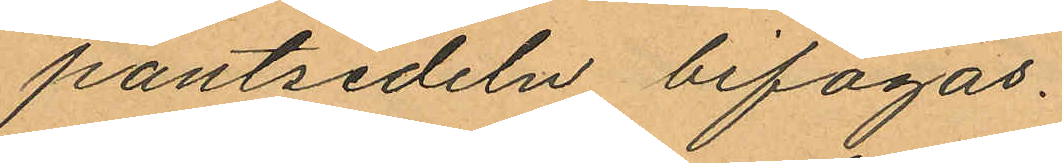pantsedeln bifogas.
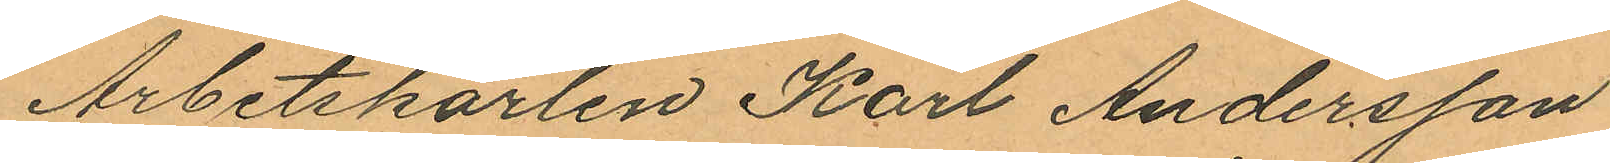Arbetskarlen Karl Andersson
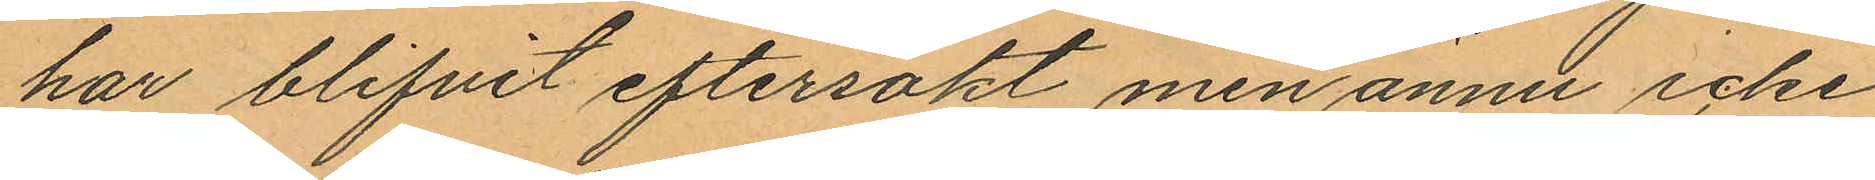har blifvit eftersökt men ännu icke
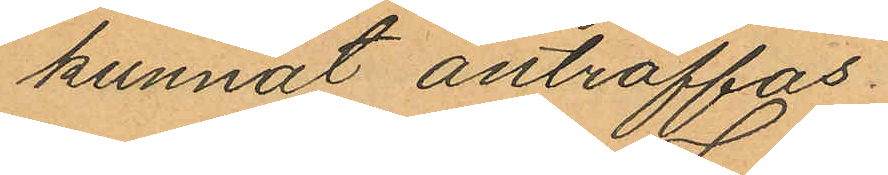kunnat anträffas.
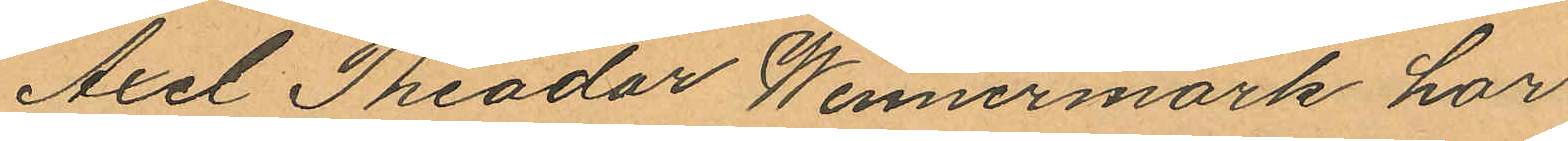Axel Theodor Wennermark har
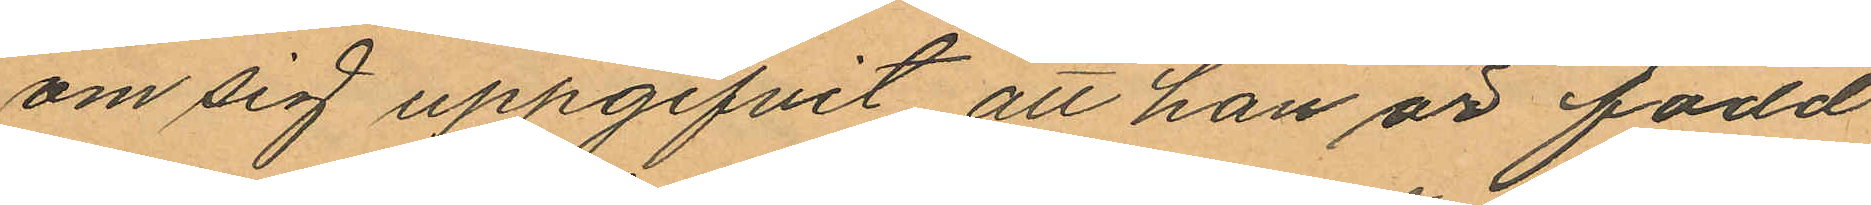om sig uppgifvit att han är född
